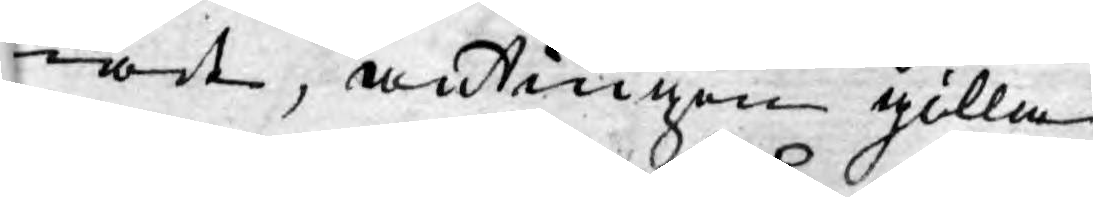nat, antingen gilla
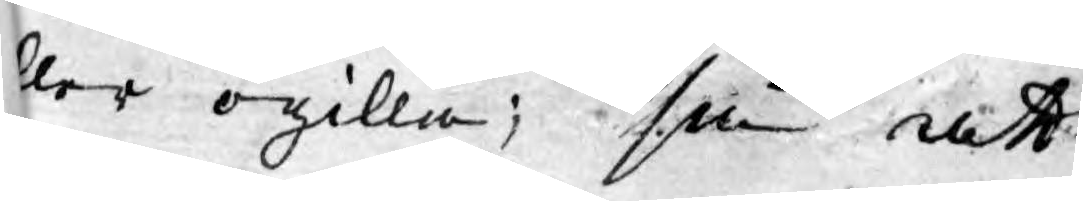eller ogilla; så att
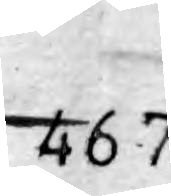467
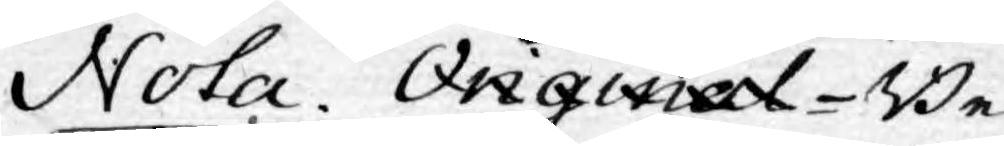Nota. OriginalConcept-Be¬
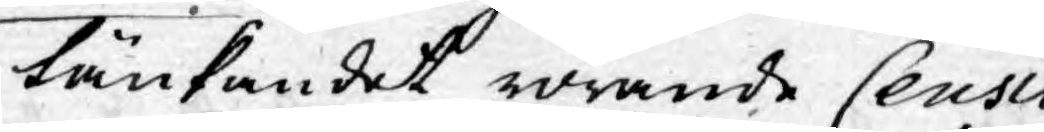tänkandet rörande Ceusu¬
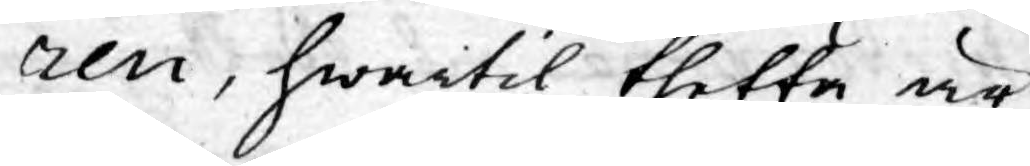ren, hwartil thetta är
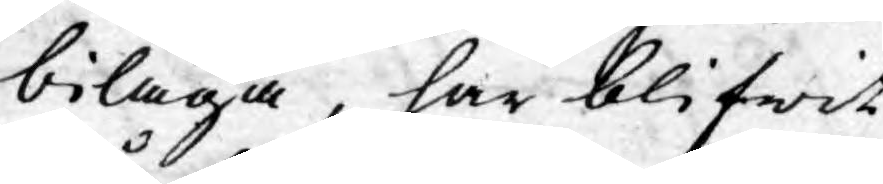bilaga, har blifwit
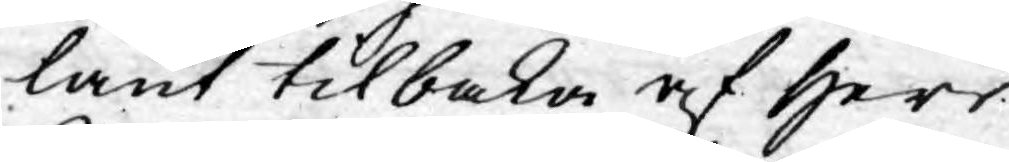lånt tilbaka af Herr
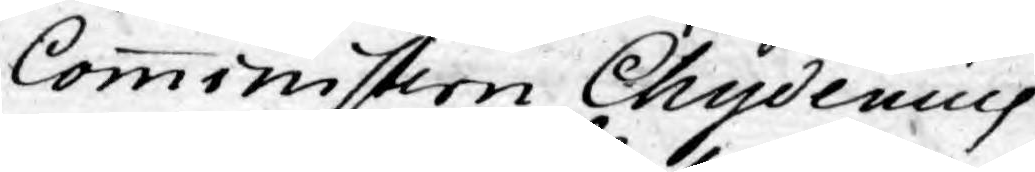Comministern Chydenius
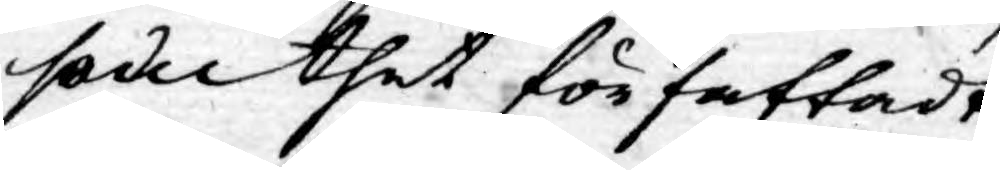som thet författadt
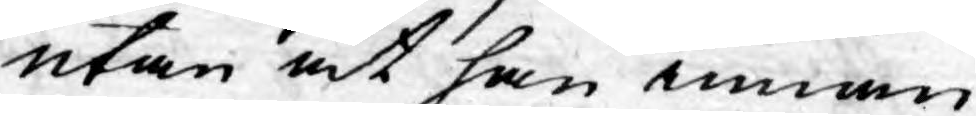utan at han innan
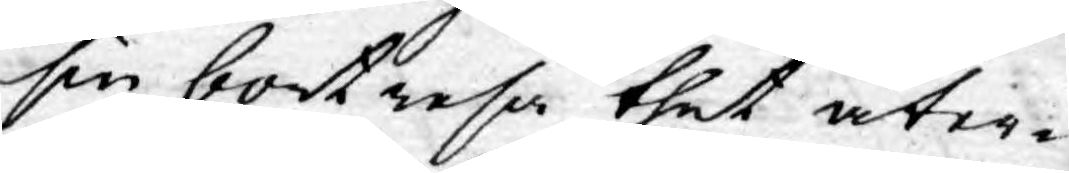sin bortresa thet åter¬
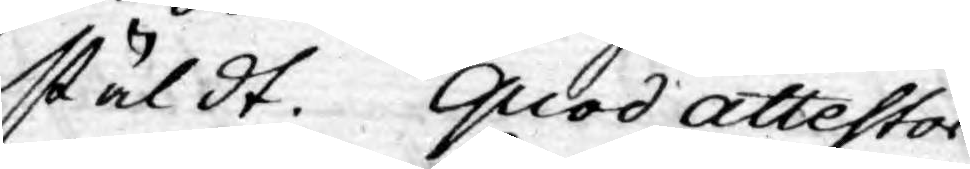stäldt. quod attestor
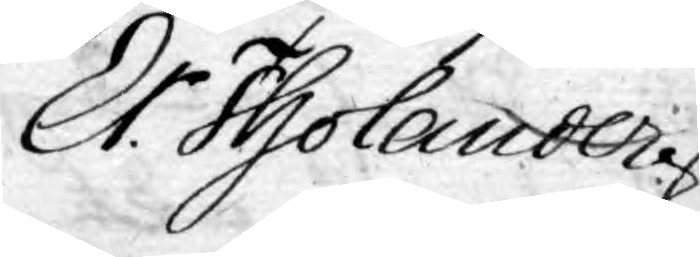Er: Tholander.
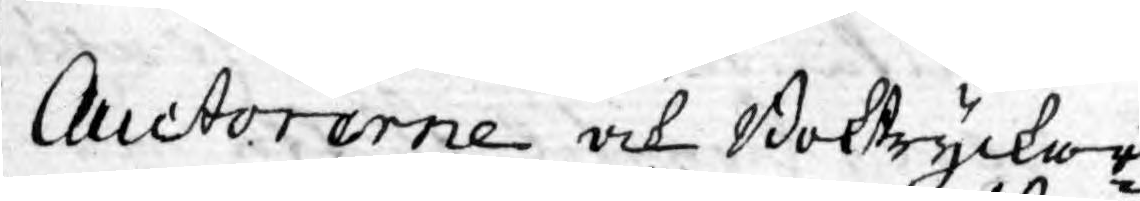Auctorerne och Boktryckar¬
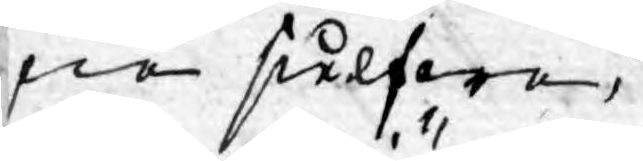ne sielfwa.
